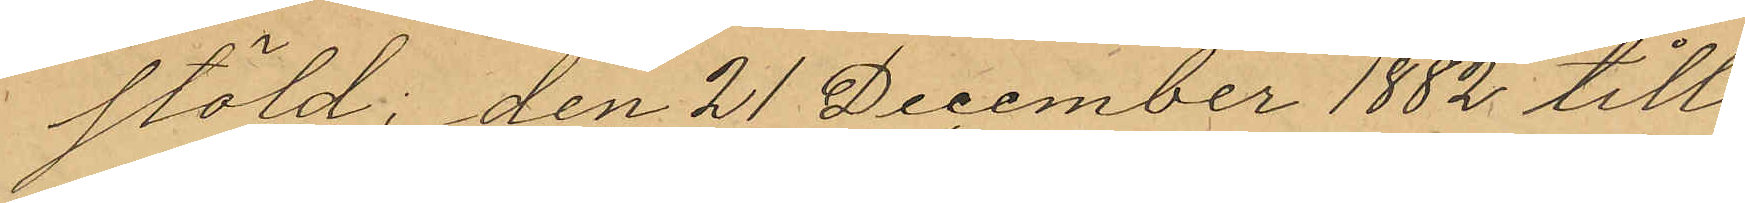stöld; den 21 December 1882 till¬
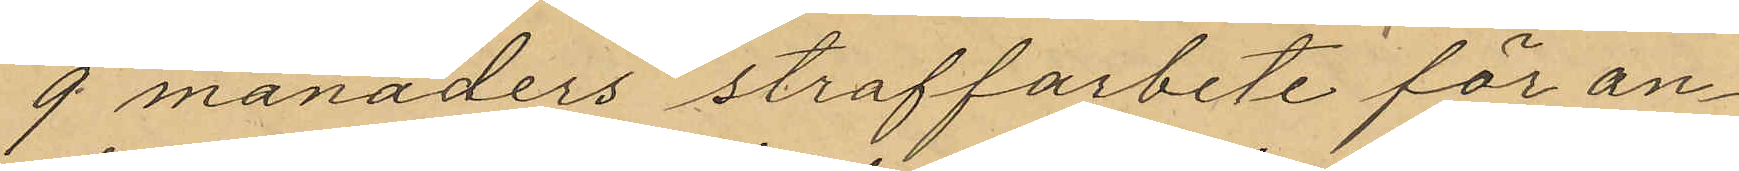9 månaders straffarbete för an¬
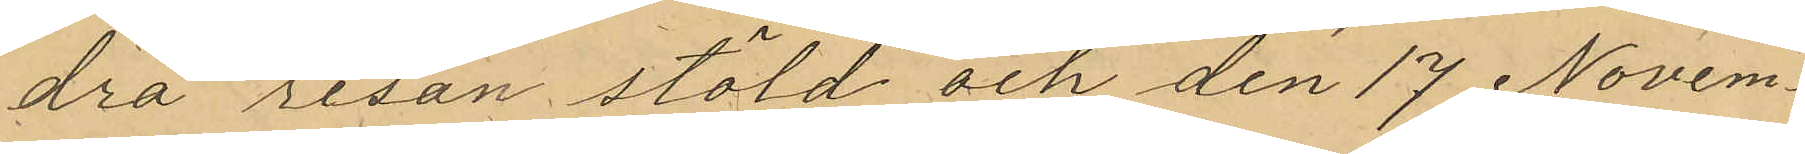dra resan stöld och den 17 Novem¬
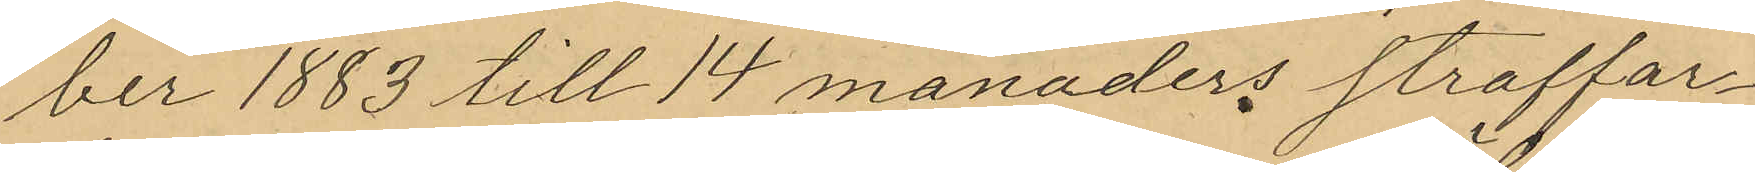ber 1883 till 14 månaders straffar¬
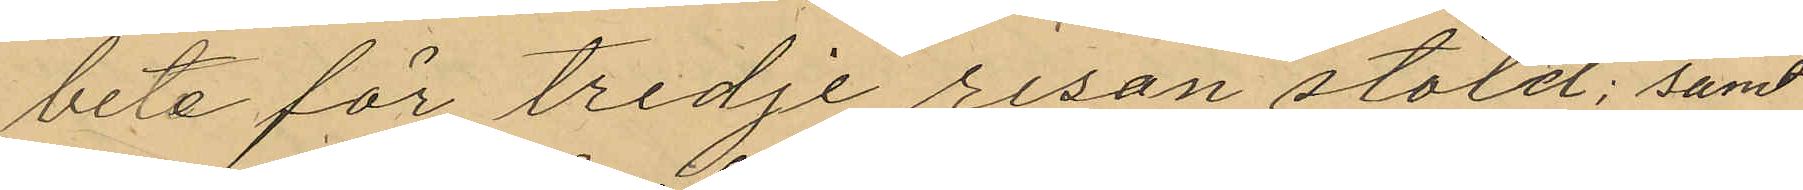bete för tredje resan stöld; samt
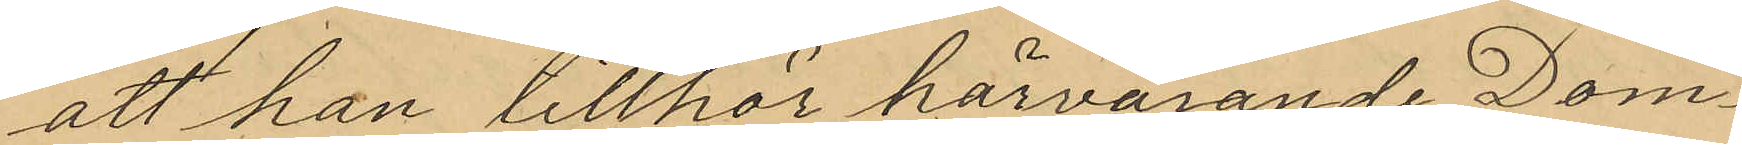att han tillhör härvarande Dom¬
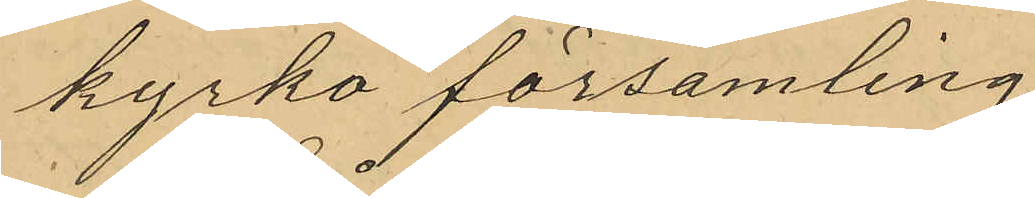kyrko församling.
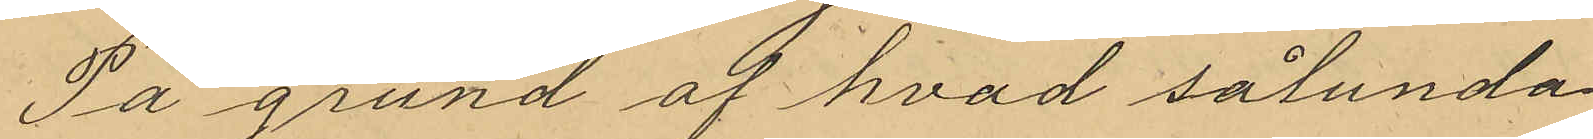På grund af hvad sålunda
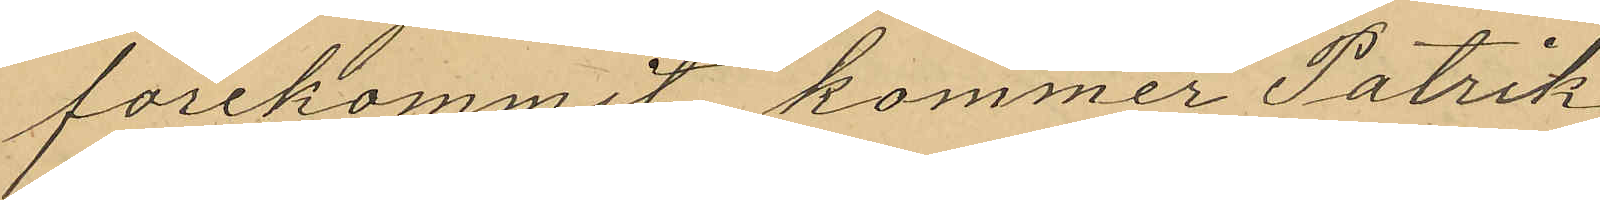forekommit, kommer Patrik
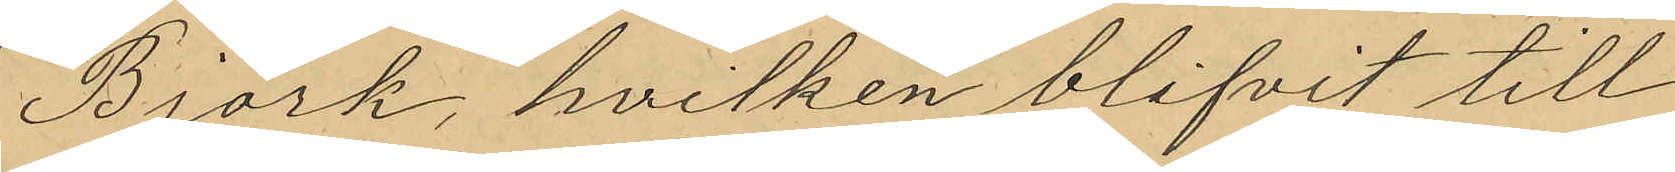Björk, hvilken blifvit till
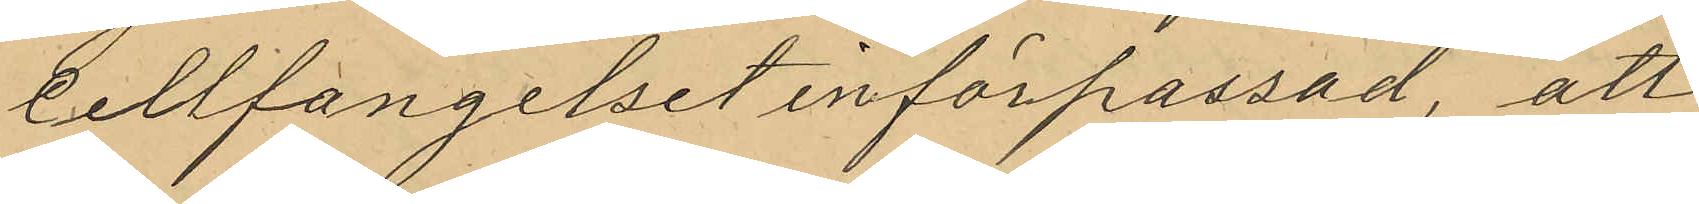Cellfängelset införpassad, att
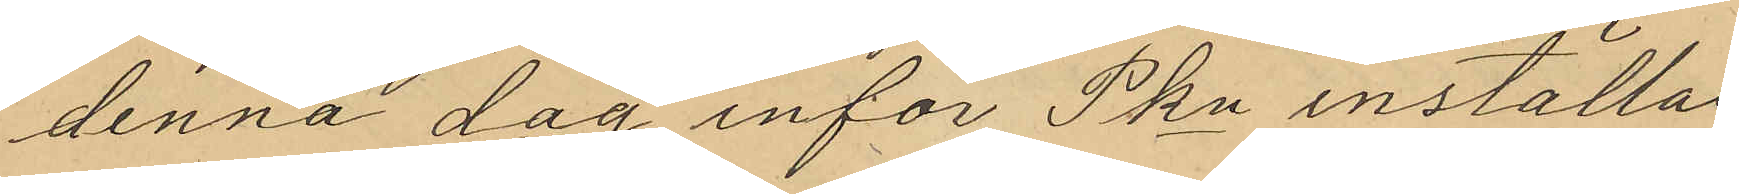denna dag inför Pkn inställas
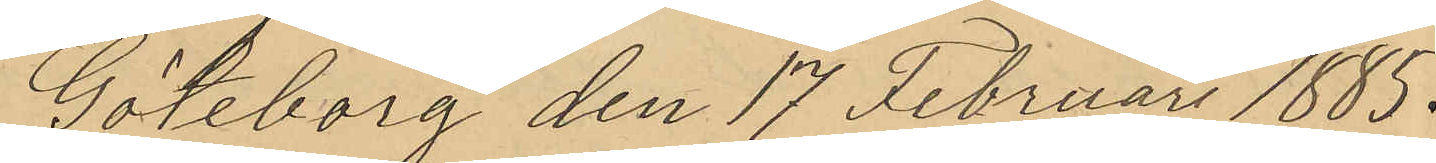Göteborg den 17 Februari 1885.
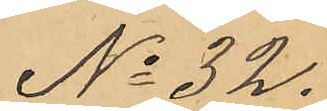No 32.
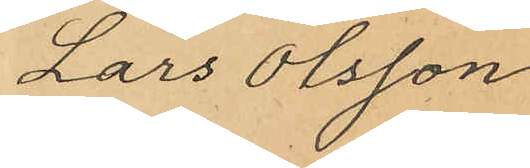Lars Olsson
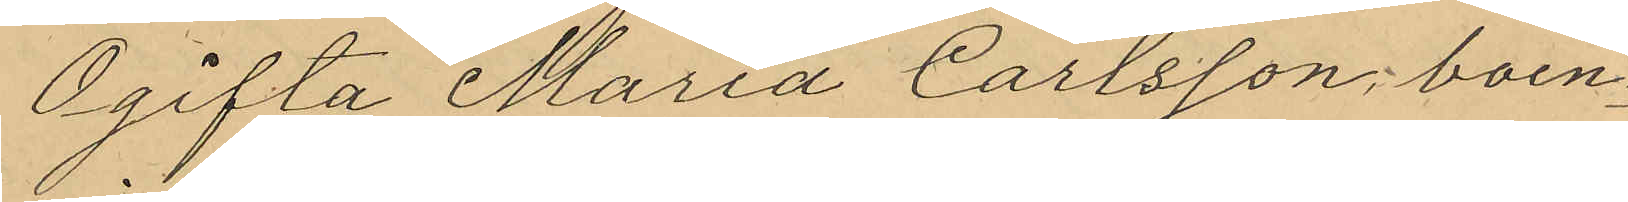Ogifta Maria Carlsson, boen¬
